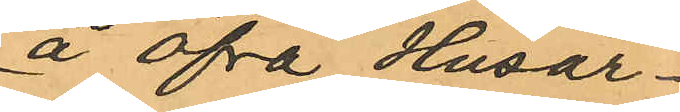å Öfra Husar¬
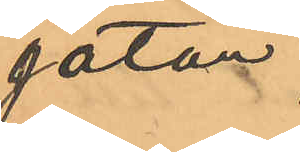gatan
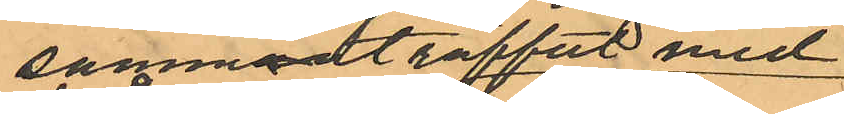sammadträffat med
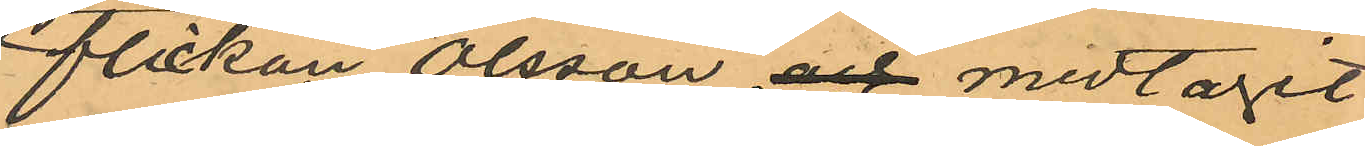flickan Olsson och medtagit
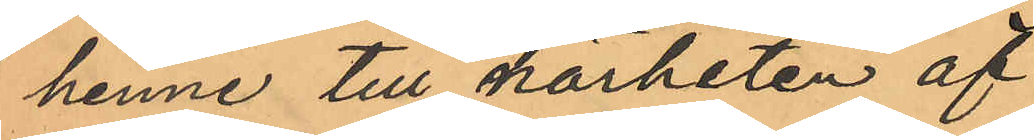henne till närheten af
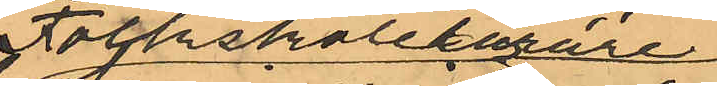Folkskollärare
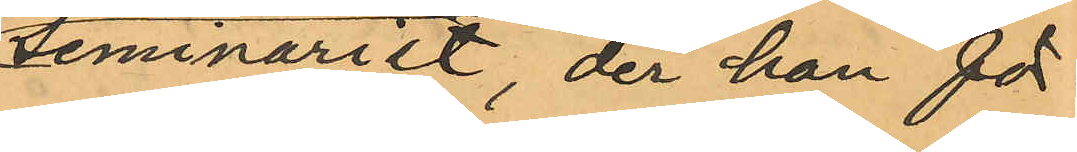seminariet, der han för¬
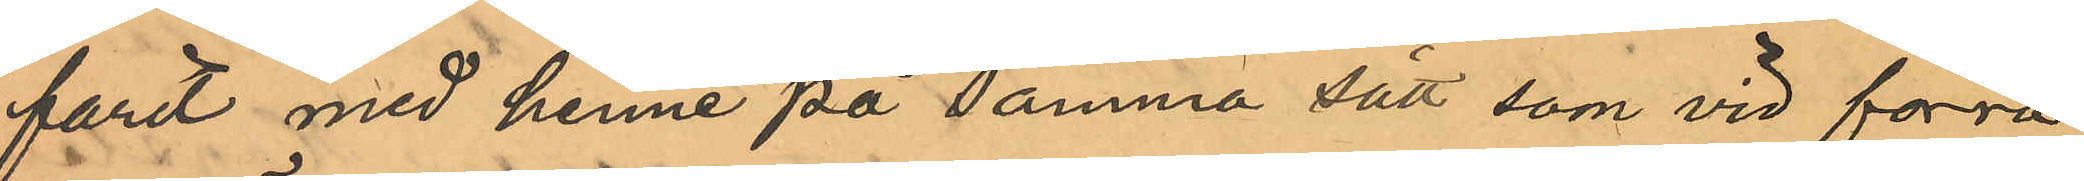farit med henne på samma sätt som vid förra
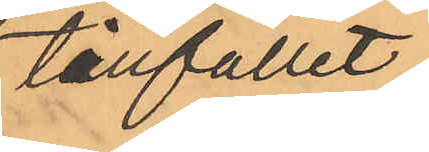tillfället;
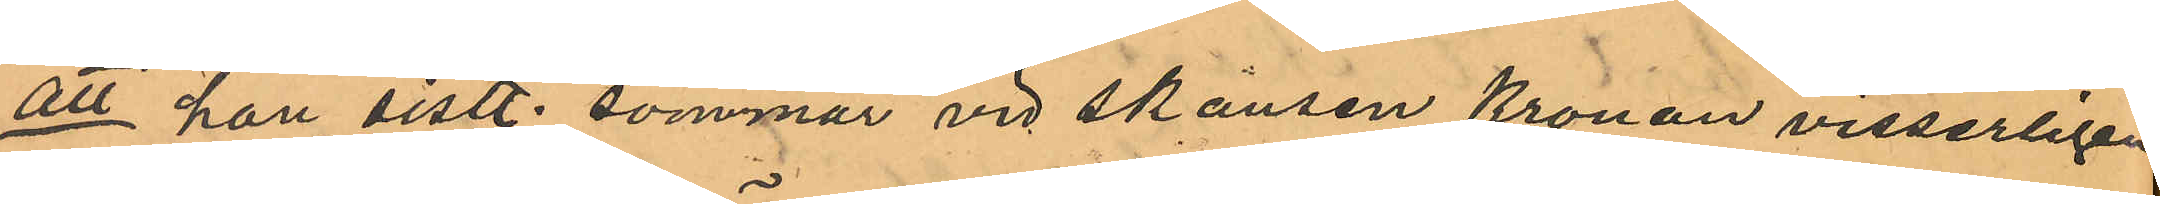att han sistl. sommar vid skansen Kronan visserligen
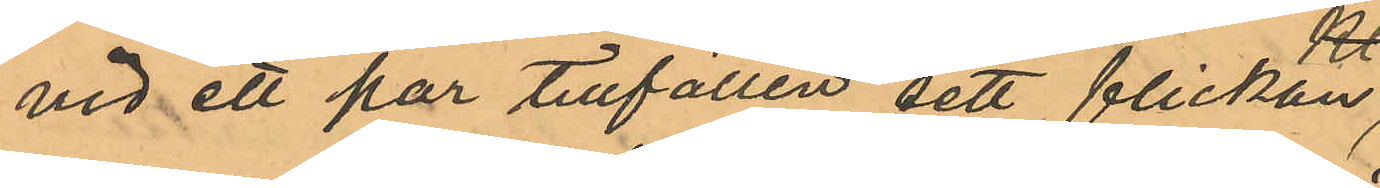vid ett par tillfällen sett flickan
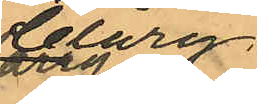Clary
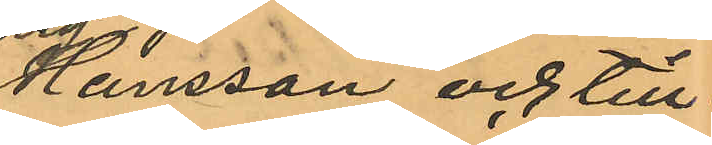Hansson och till¬
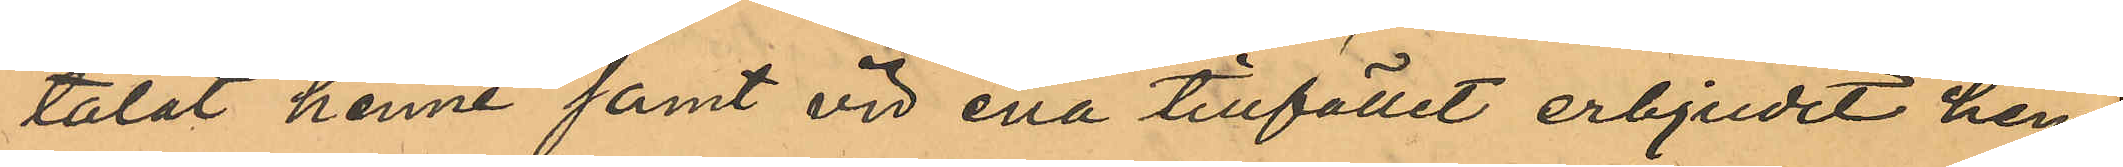talat henne samt vid ena tillfället erbjudit henne
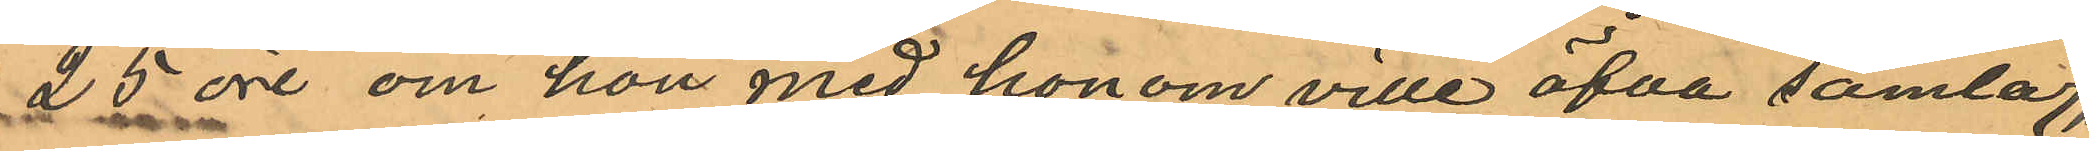25 öre om hon med honom ville öfva samlag,
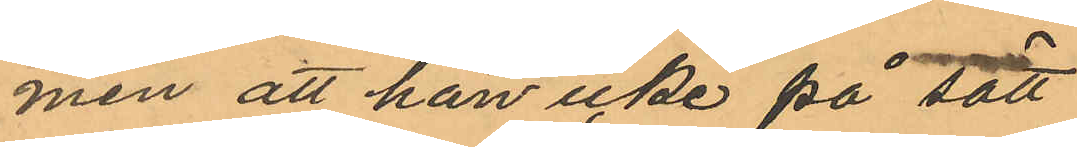men att han icke på sätt
